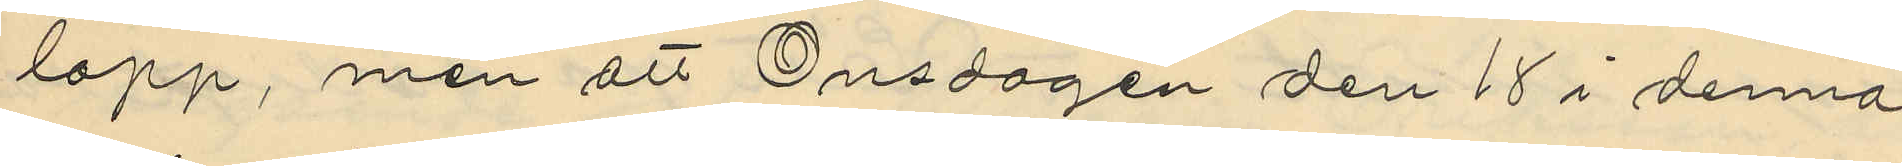lopp, men att Onsdagen den 18 i denna
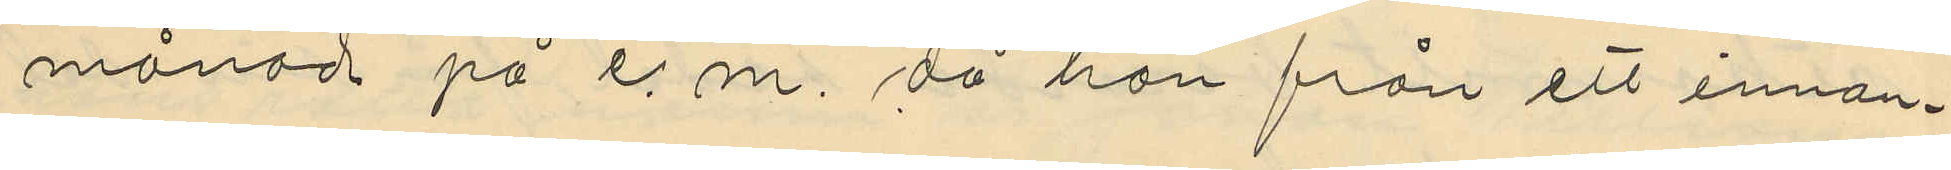månad på e.m, då han från ett innan¬
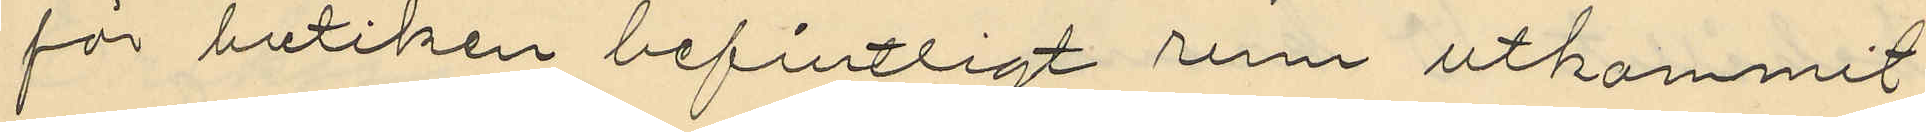för butiken befintligt rum utkommit
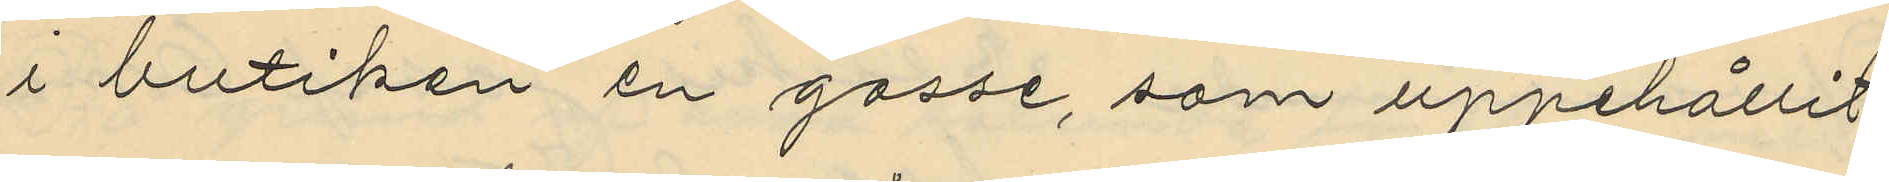i butiken en gosse, som uppehållit
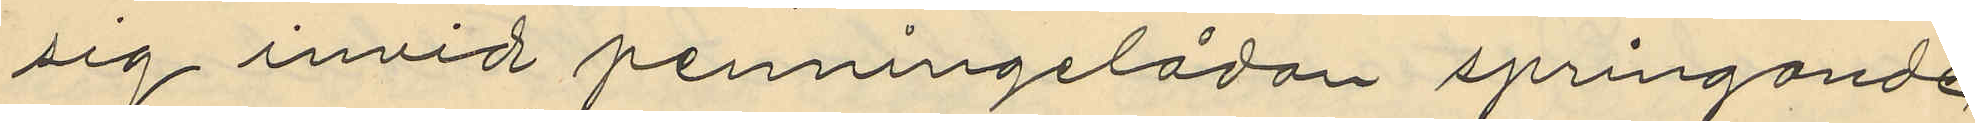sig invid penningelådan springande
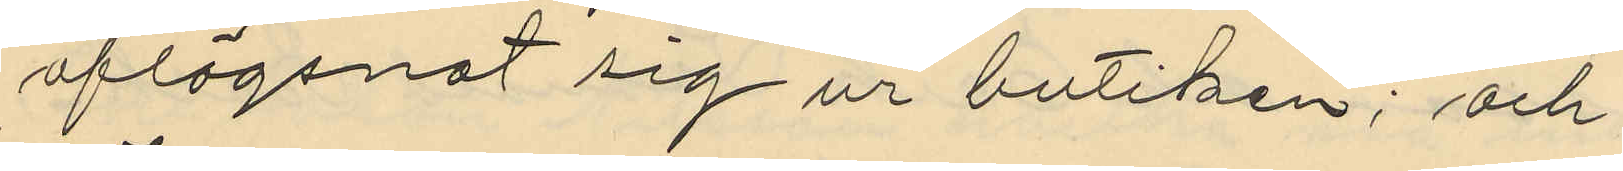aflägsnat sig ur butiken; och
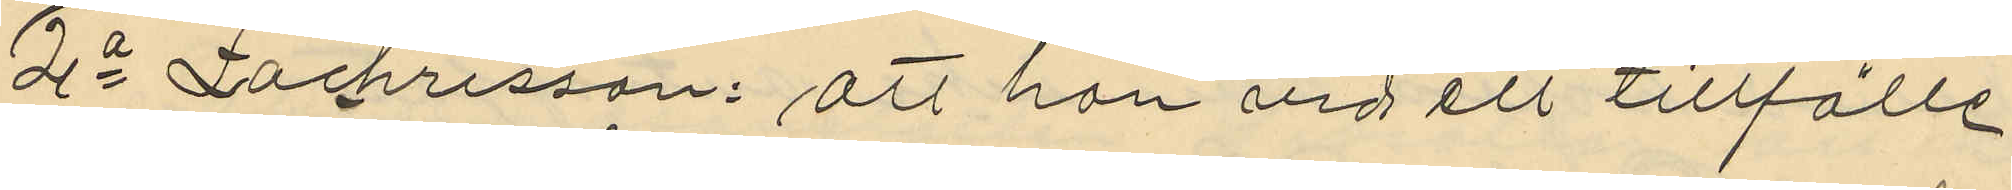2o Zachrisson: att han vid ett tillfälle
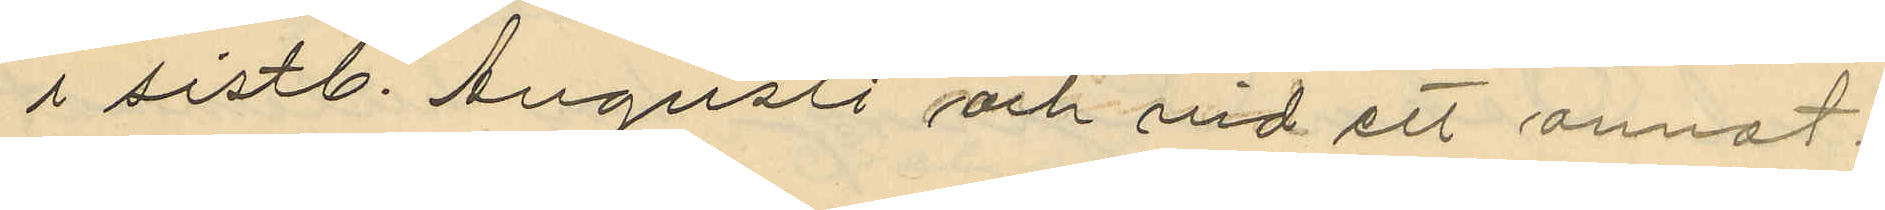i sistl. Augusti och vid ett annat.
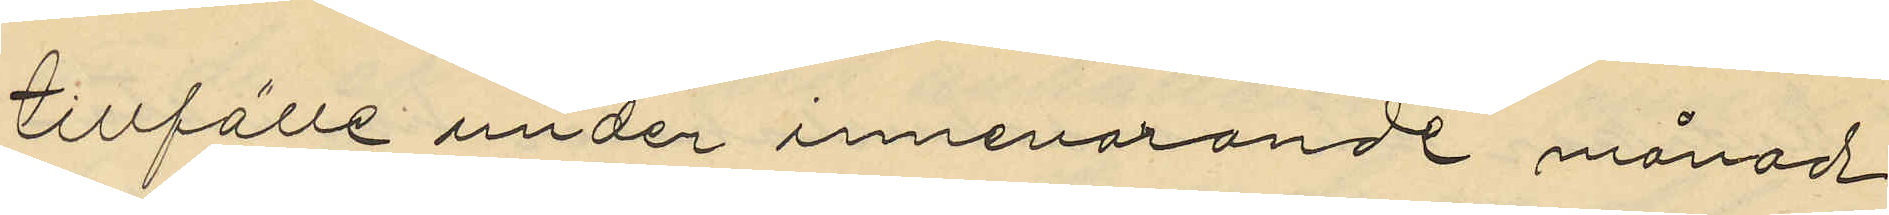tillfälle under innevarande månad
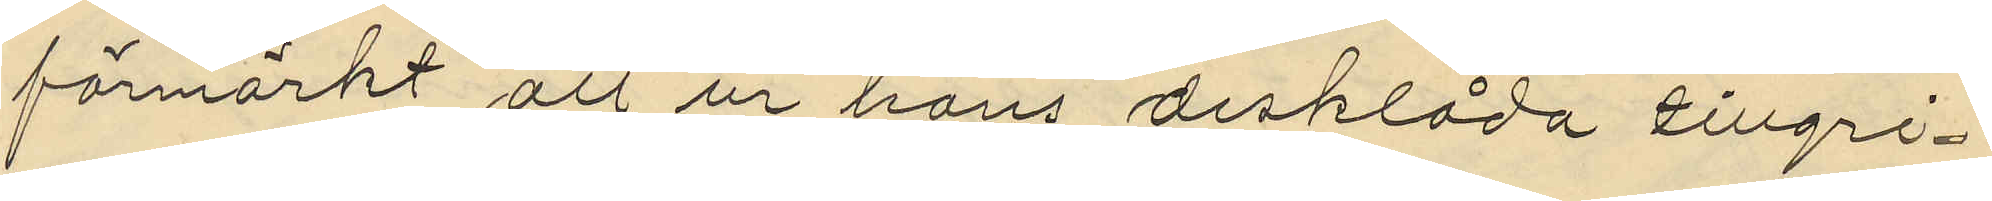förmärkt att ur hans disklåda tillgri¬
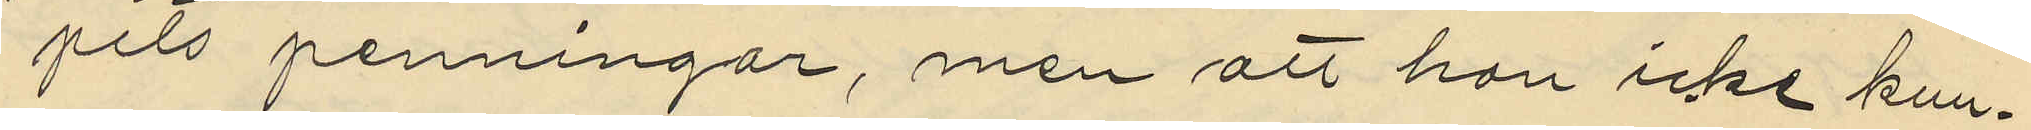pits penningar, men att han icke kun¬
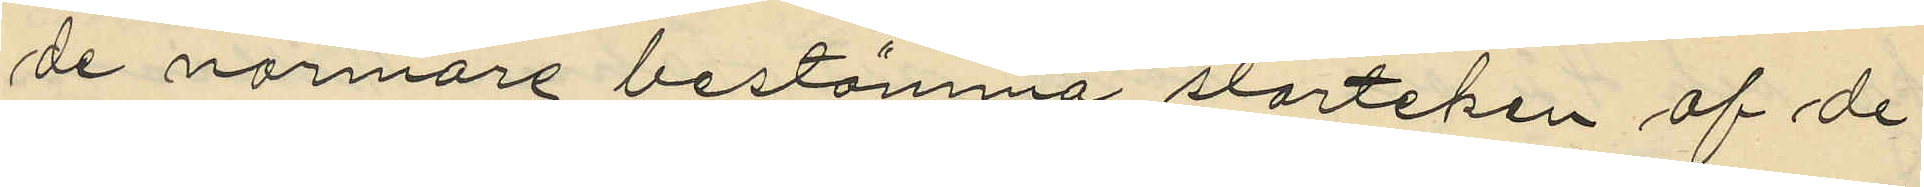de närmare bestämma storleken af de
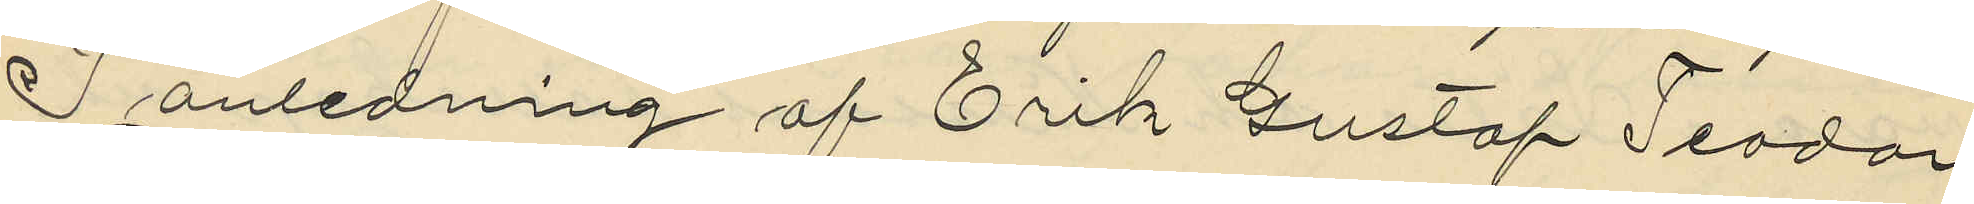I anledning af Erik Gustaf Teodor
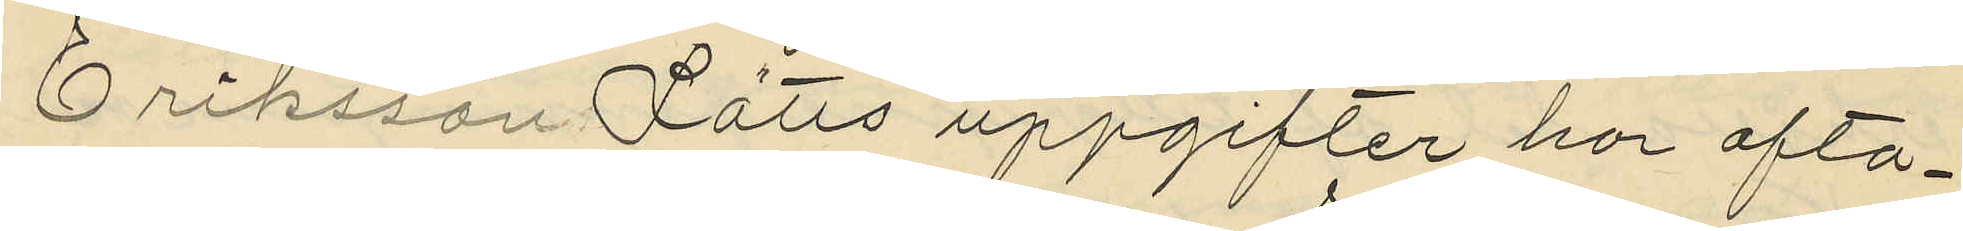Eriksson Lätts uppgifter har ofta¬
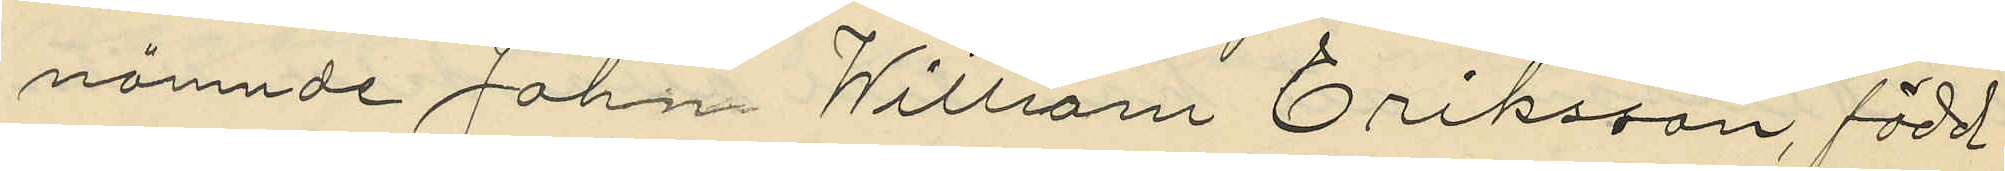nämnde John William Eriksson, född
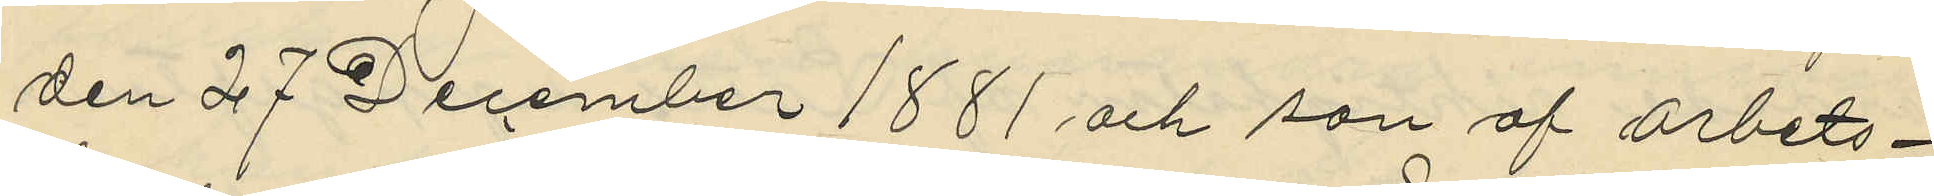den 27 December 1881 och son af arbets¬
